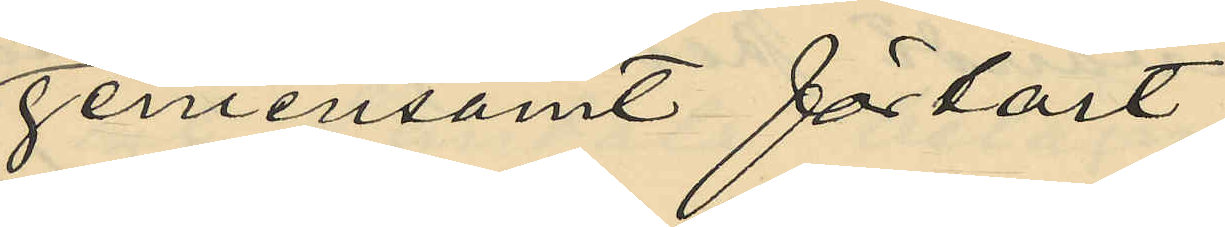gemensamt förtärt
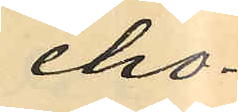cho¬
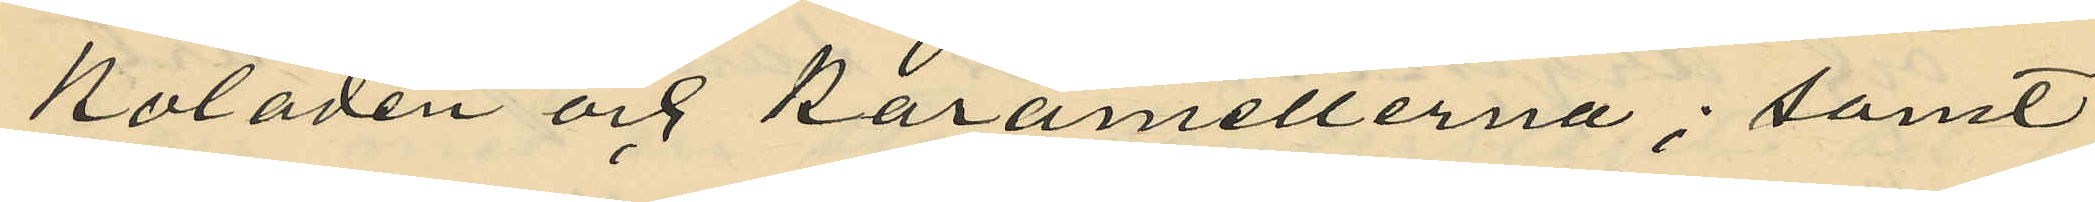koladen och karamellerna; samt
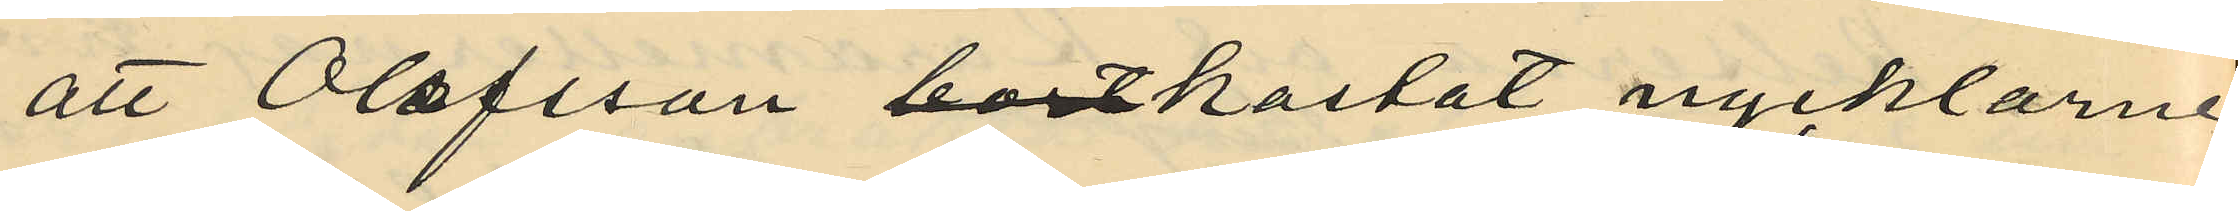att Olofsson bortkastat nycklarne
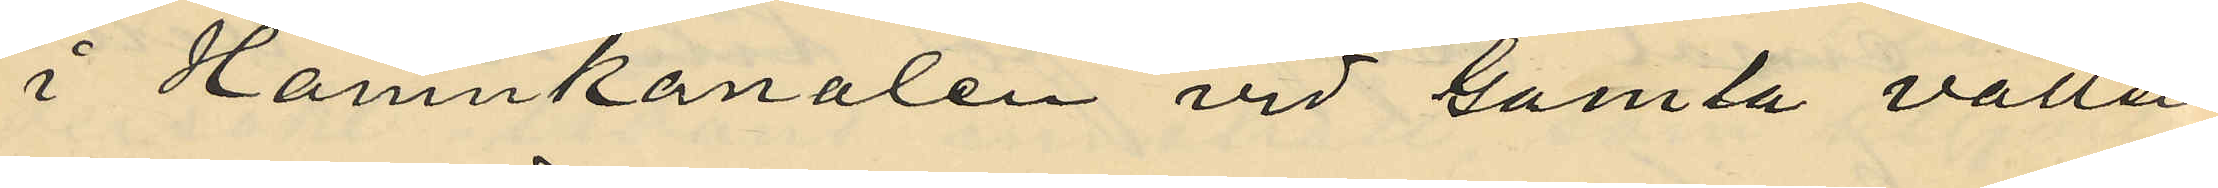i Hamnkanalen vid Gamla vatten¬
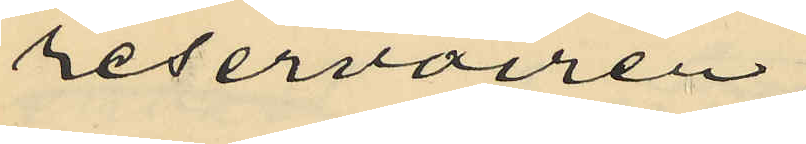reservoaren;
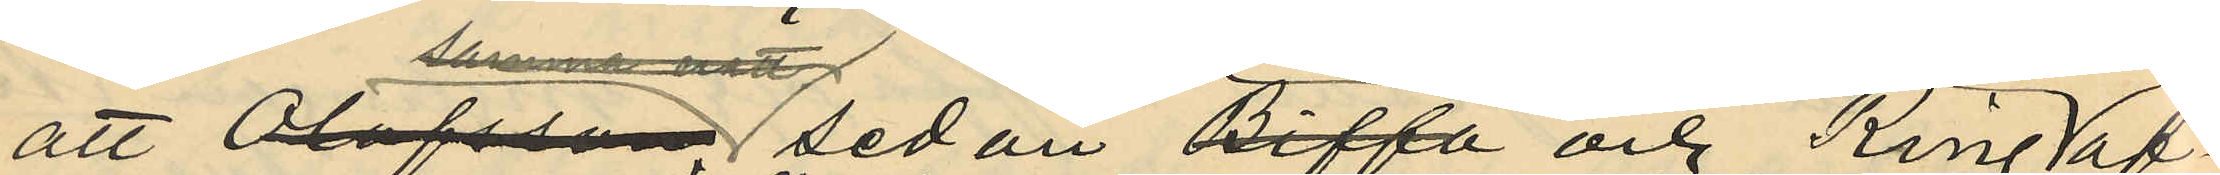att Olofsson sedan Bengtsson och ring af¬
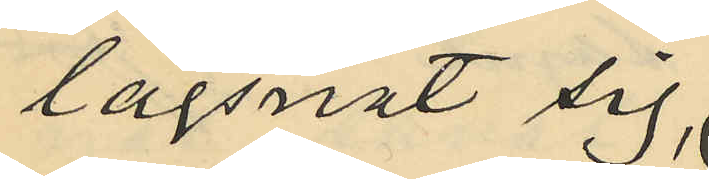lägsnat sig;
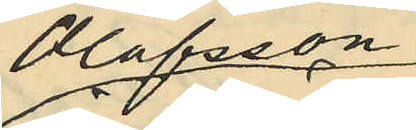Olofsson
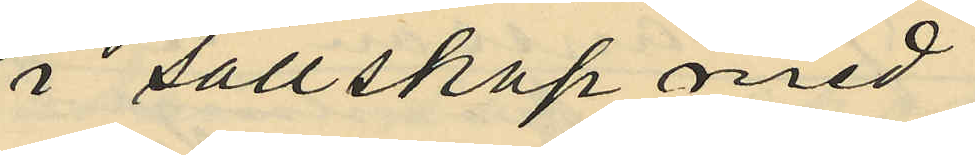i sällskap med
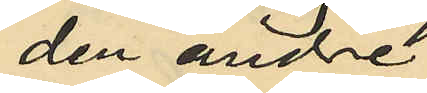den andre
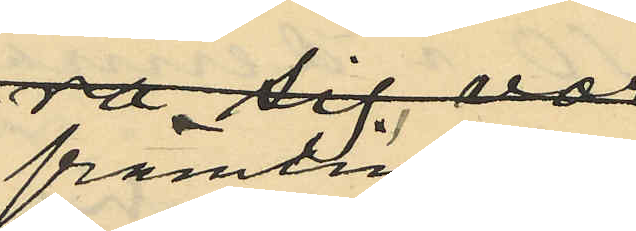främlingen
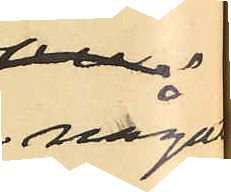något
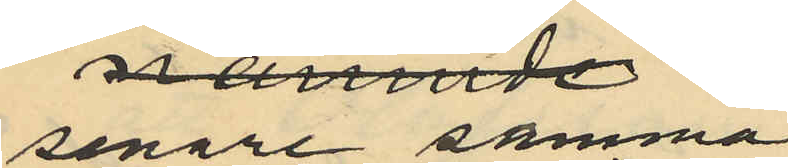senare samma
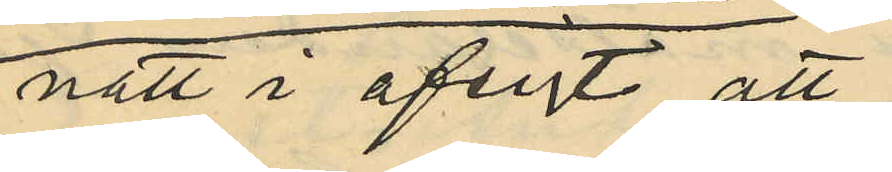natt i afsigt att
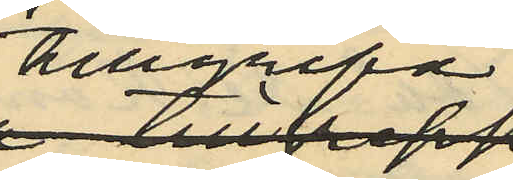tillgripa
